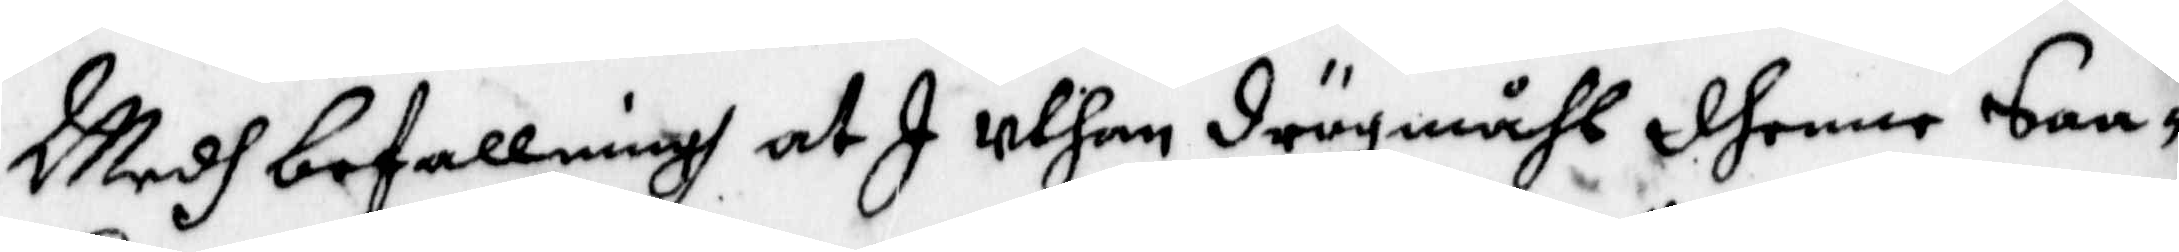Medh befallning at I uyhan drögmåhl dhenne Saa¬
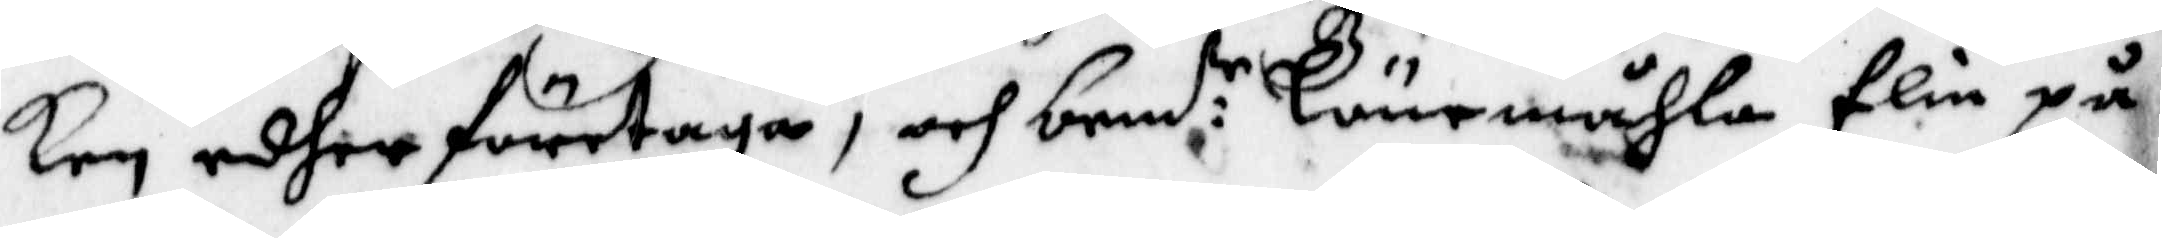ken edher företaga, och bem:de Lönemåhla Elin på
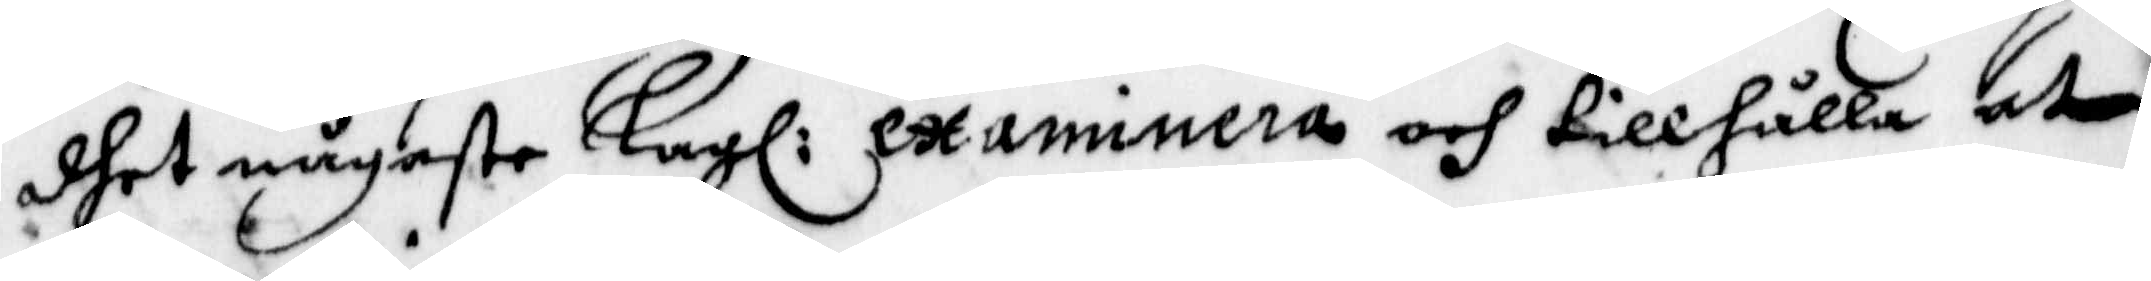dhet någaste Lagl: examinera och tillhålla at
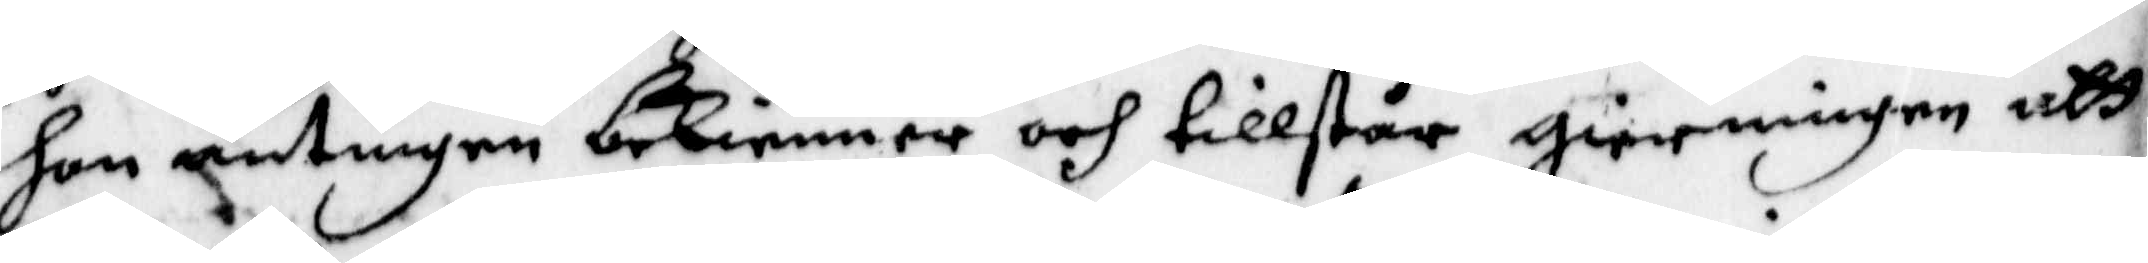hon antingen bekienner och tillstår gierningen att
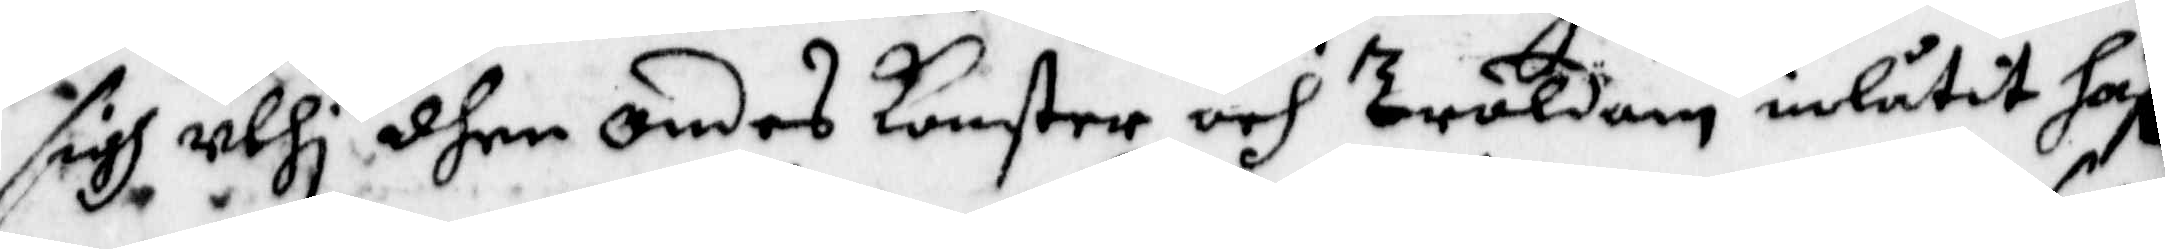sigh uthi dhen Ondes konster och Troldom inlåtit haf¬
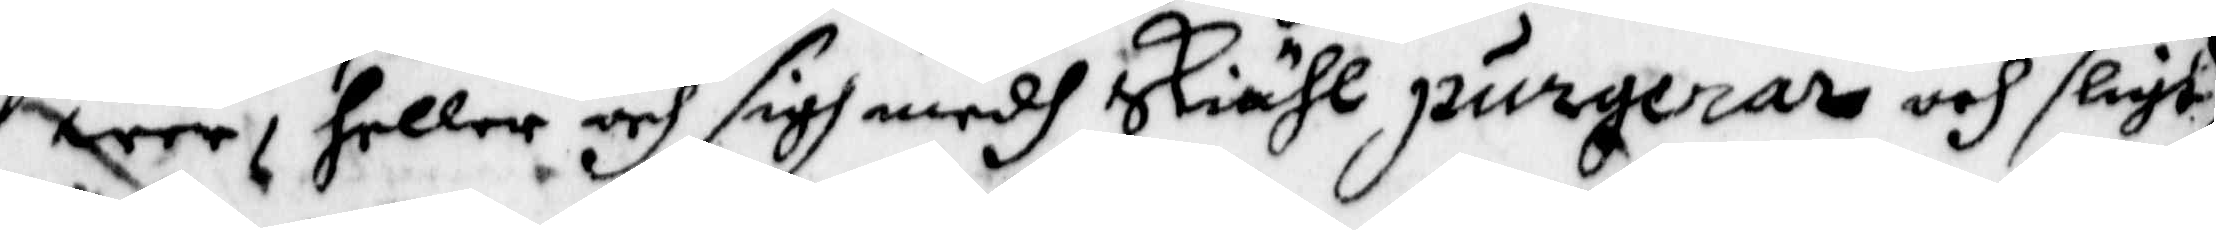wer, heller och sigh medh Skiähl purgerar och sligt
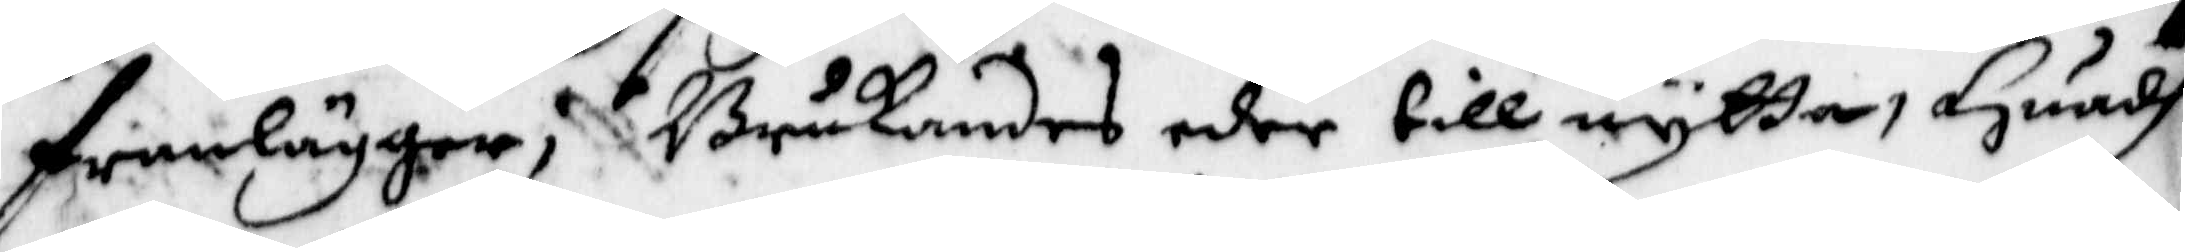framlägger; Brukandes eder till nytta, Huadh
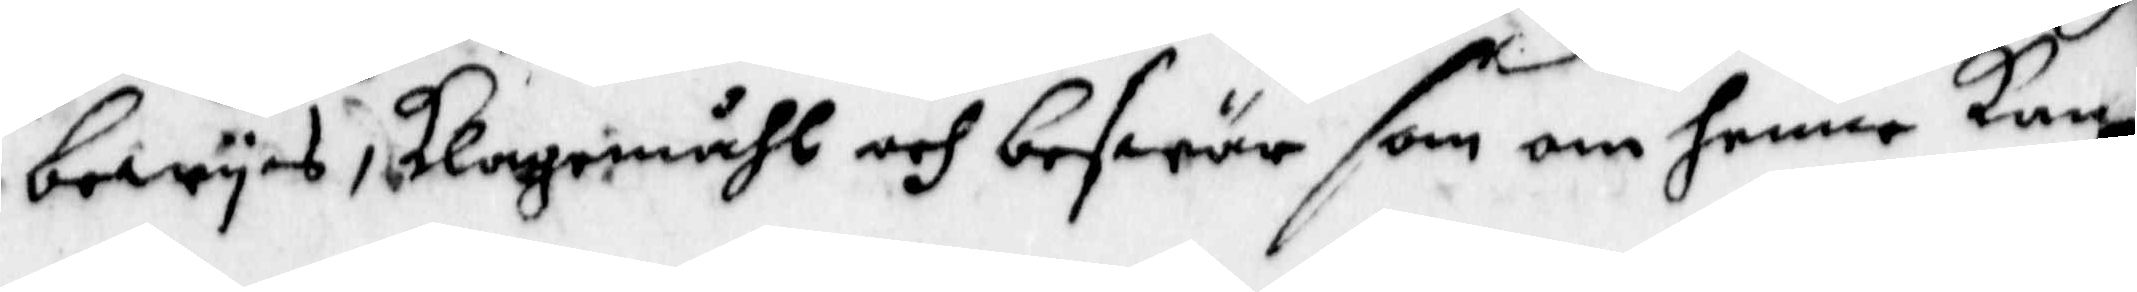bewys, klagemåhl och beswär som om henne kan
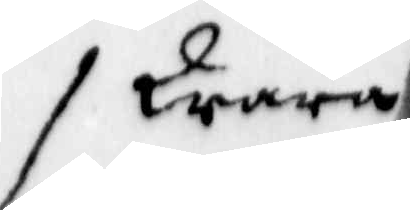Wara
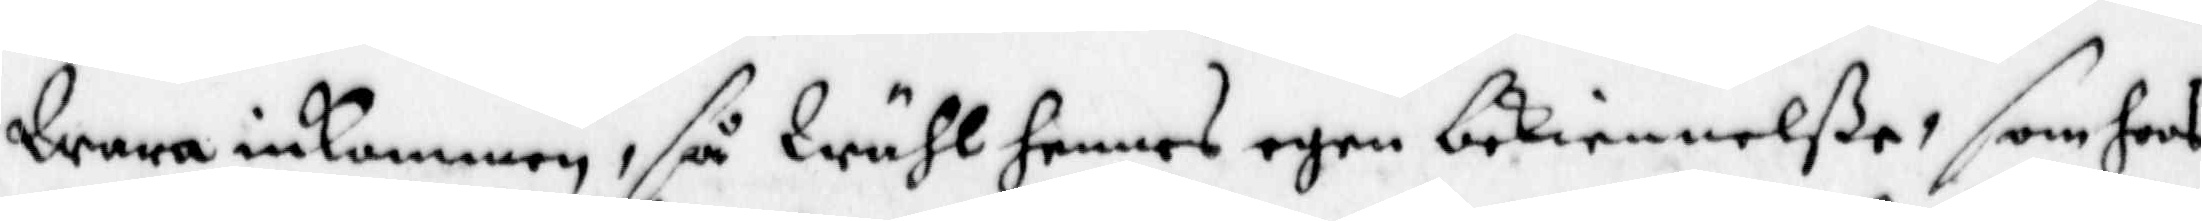Wara inkommen, så Wähl hennes egen bekiennelße, som hoos
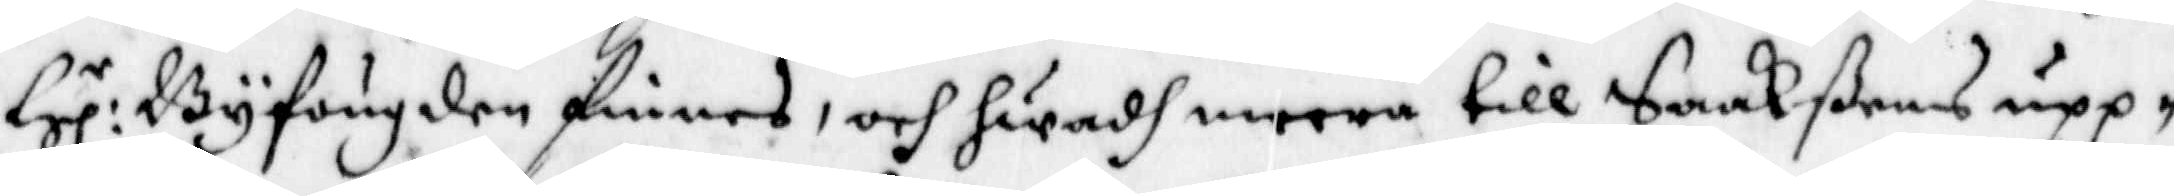Hl.r Byfougden finnes, och hwadh meera till Saakßens upp¬
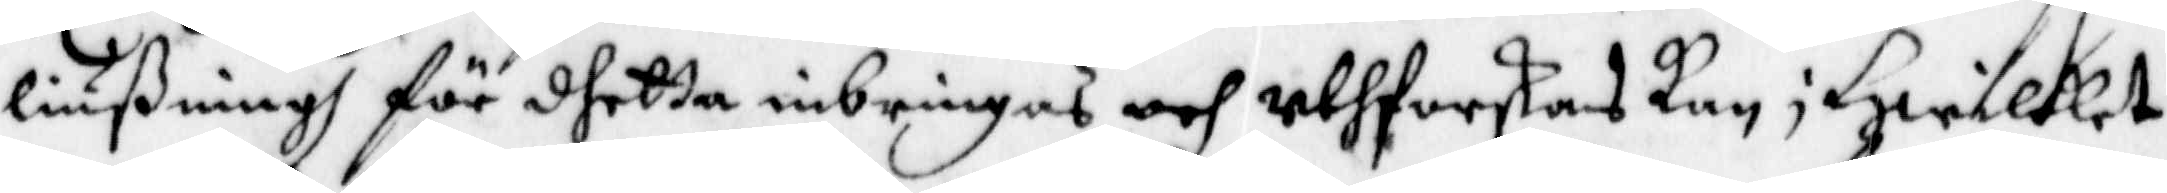liußningh för dhetta inbringas och uthforskas kan; Hwilket
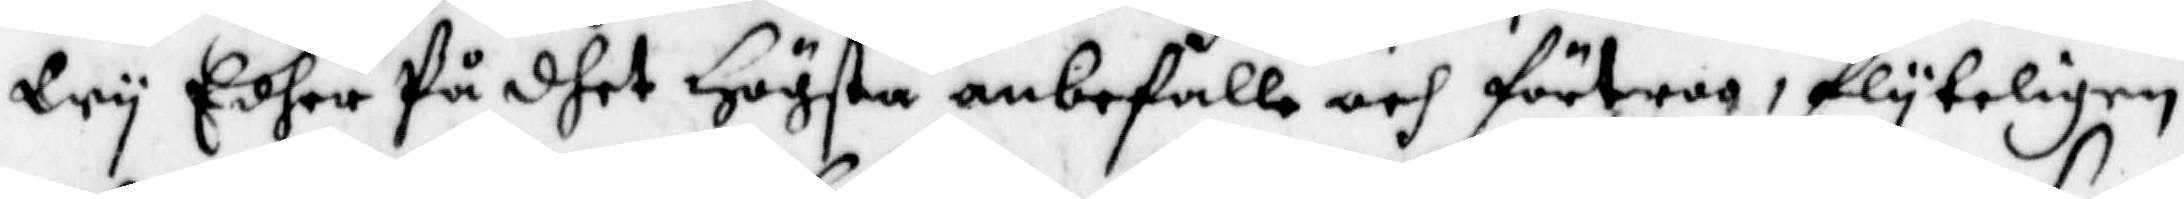Wy Edher På dhet Högsta anbefalla och förtroo, Flyteligen
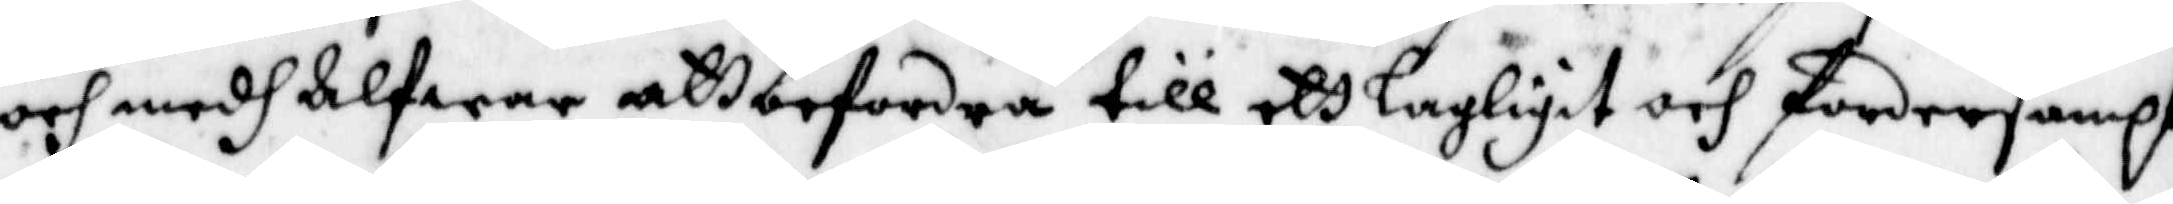och medh Alfwar att befordra till ett lagligit och Fordersampt
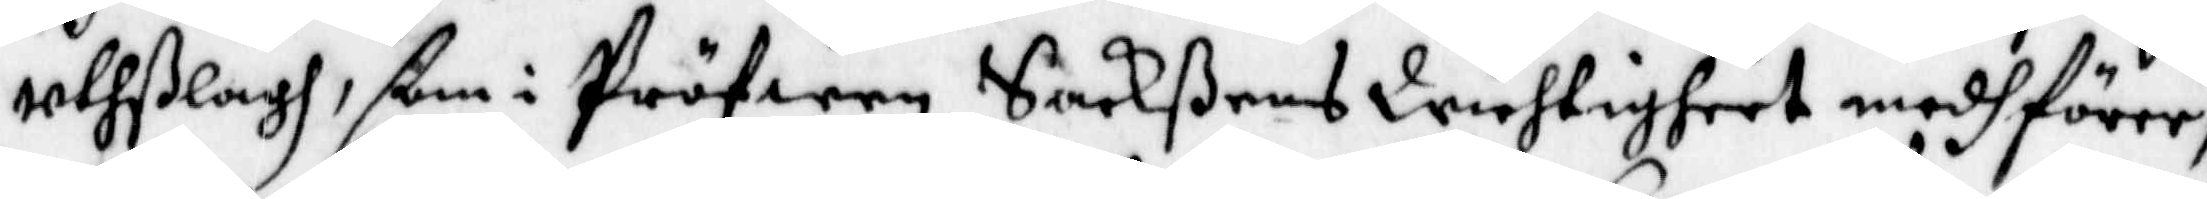uthslagh, ßom i Pröwen Sackßens Wichtigheet medhFörer,
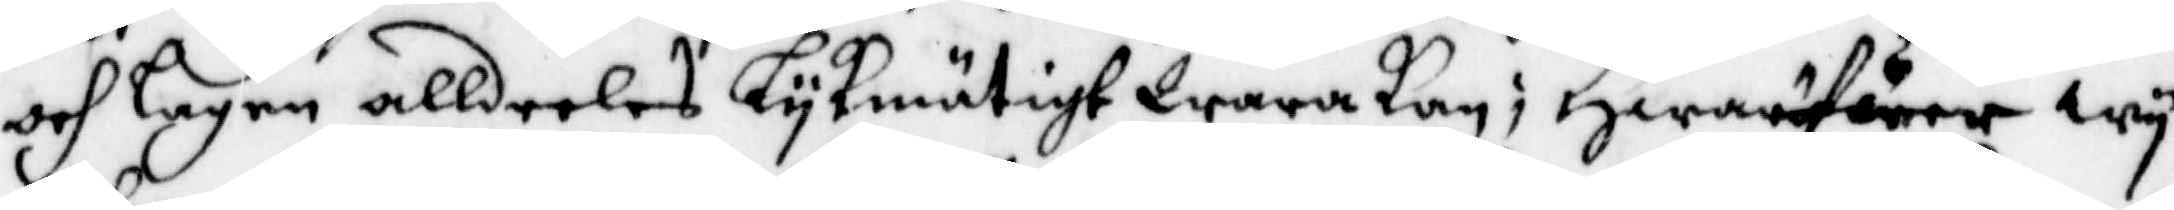och Lagen alldeeles Lykmätigt Wara kan; Hwarförer Wy
